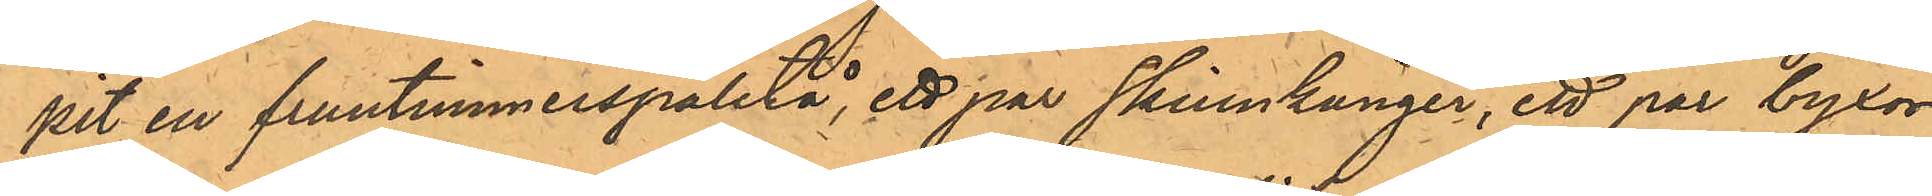pit en fruntimmerspaletå, ett par skinnkänger, ett par byxor
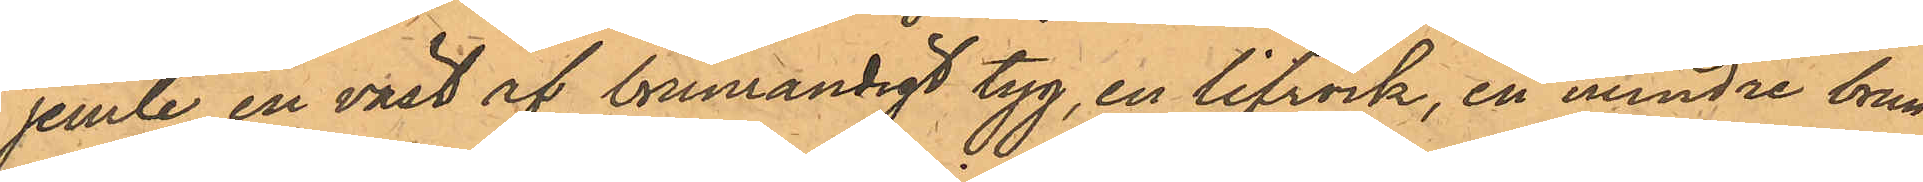jemte en väst af brunrandigt tyg, en lifrock, en mindre brun
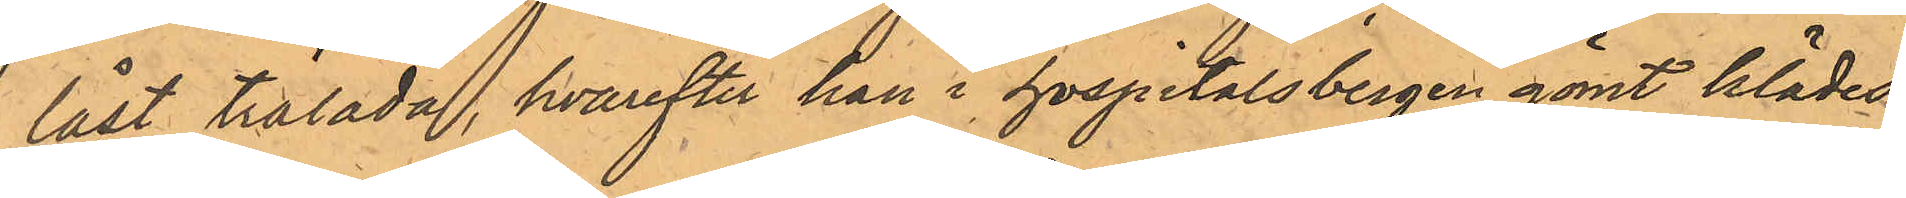låst trälada, hvarefter han i hospitalsbergen gömt klädes¬
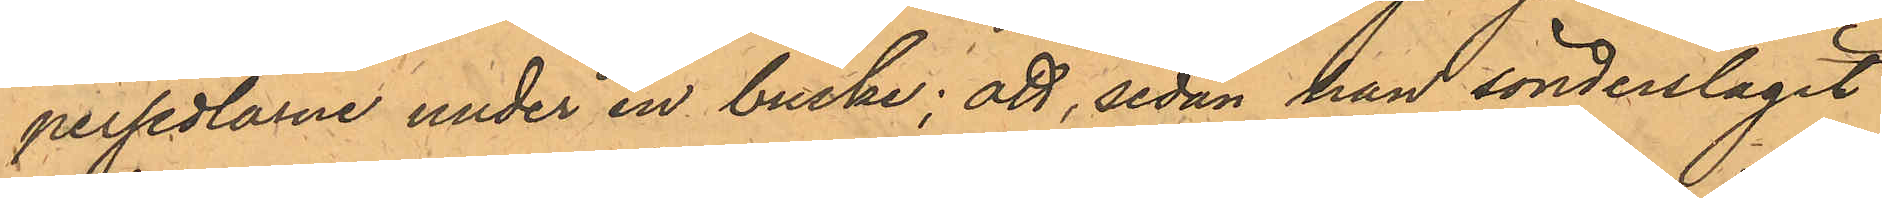persedlarne under en buske; att, sedan han sönderslagit
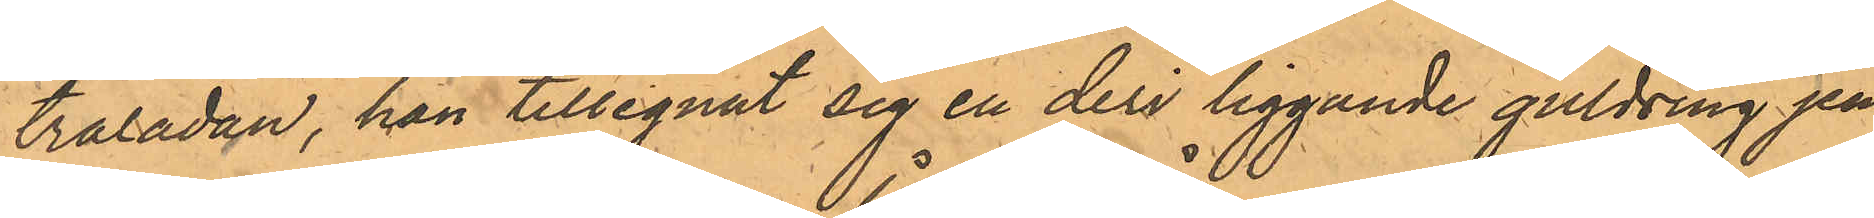träladan, han tillegnat sig en deri liggande guldring jem¬
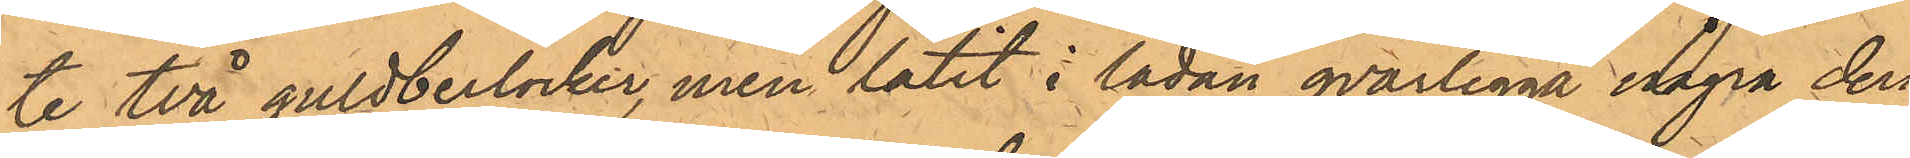te två guldberlocker, men låtit i lådan qvarligga några deri
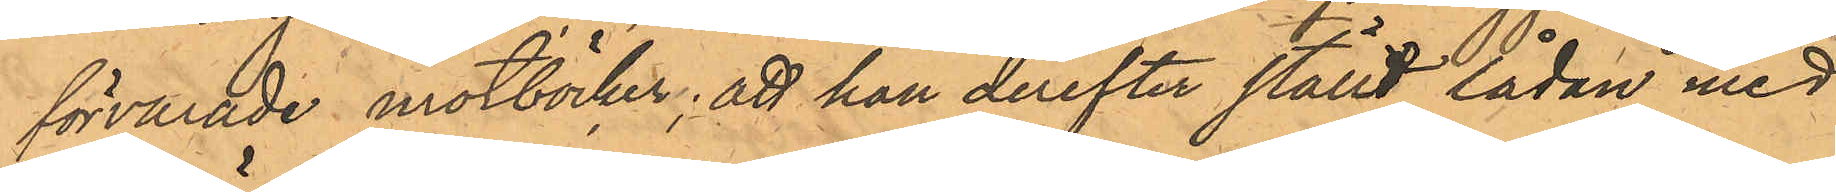förvarade motböcker; att han derefter ställt lådan med
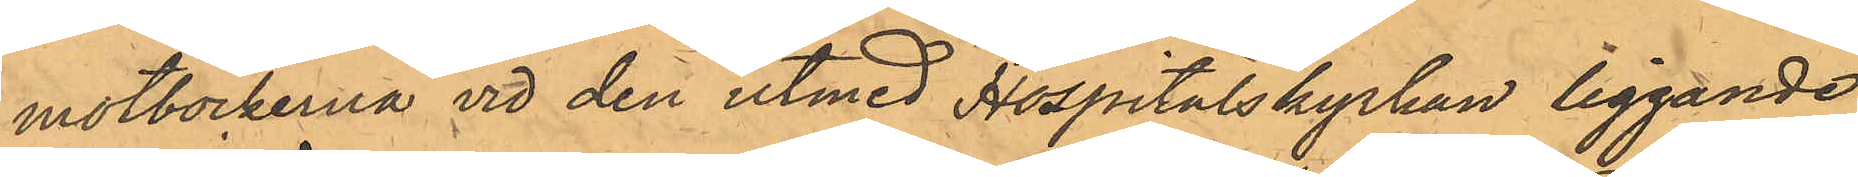motböckerna vid den utmed Hospitalskyrkan liggande
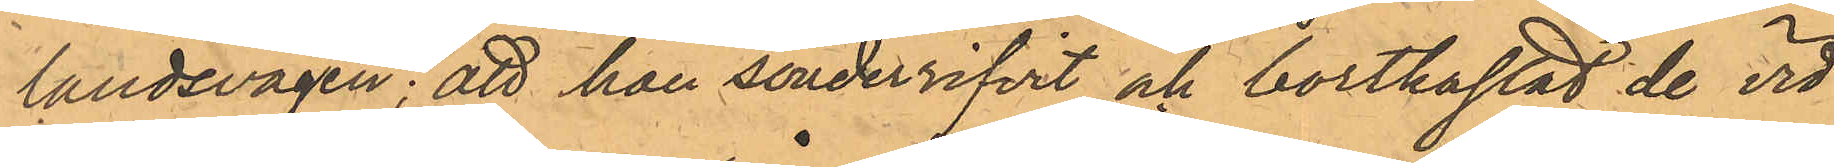landsvägen; att han sönderrifvit och bortkastat de vid
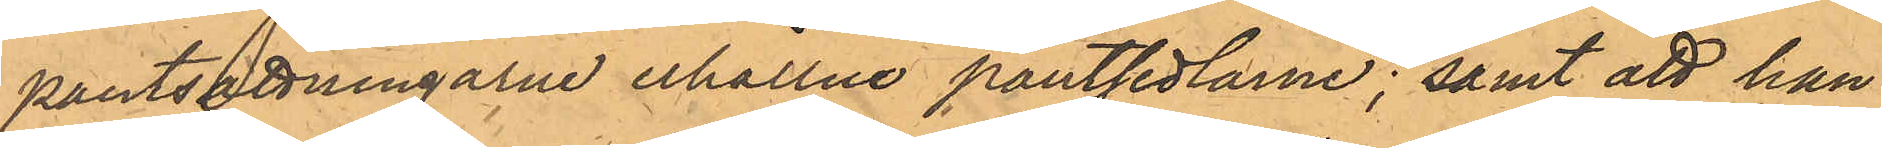pantsättningarne erhållne pantsedlarne; samt att han
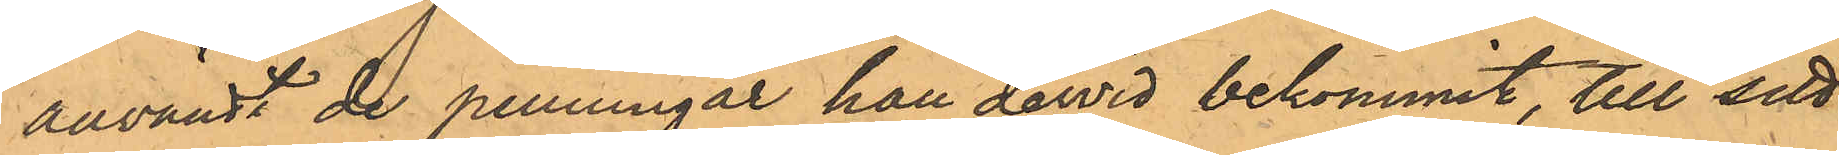användt de penningar han dervid bekommit, till sitt
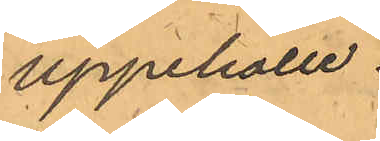uppehälle.
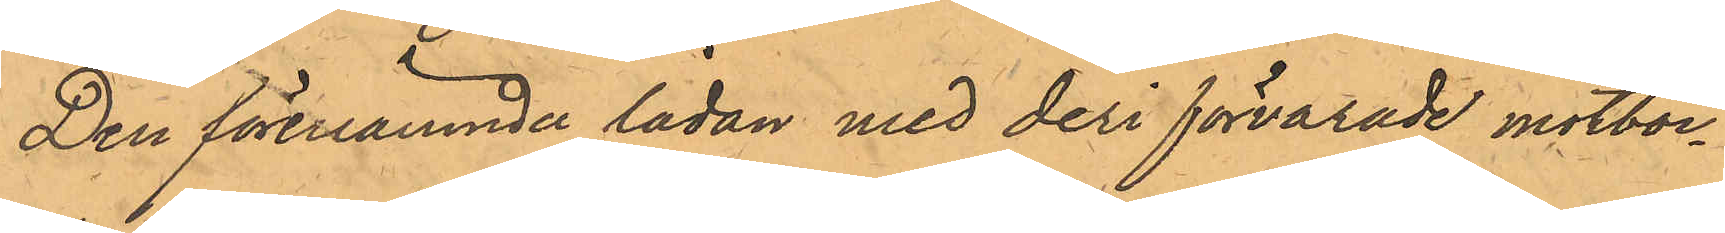Den förenämnde lådan med deri förvarade motböc¬
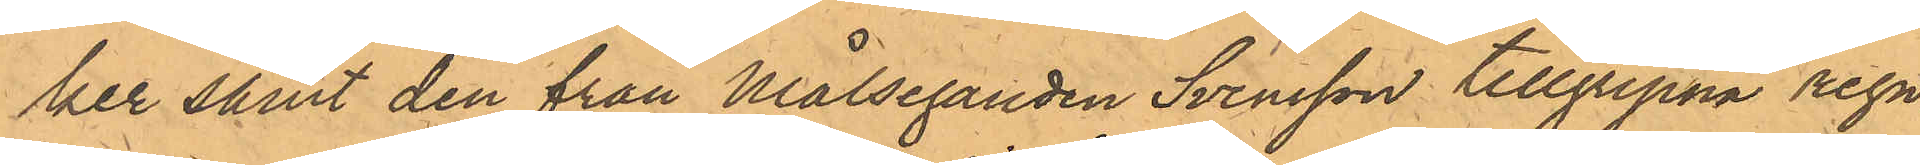ker samt den från Målseganden Svensson tillgripna regn¬
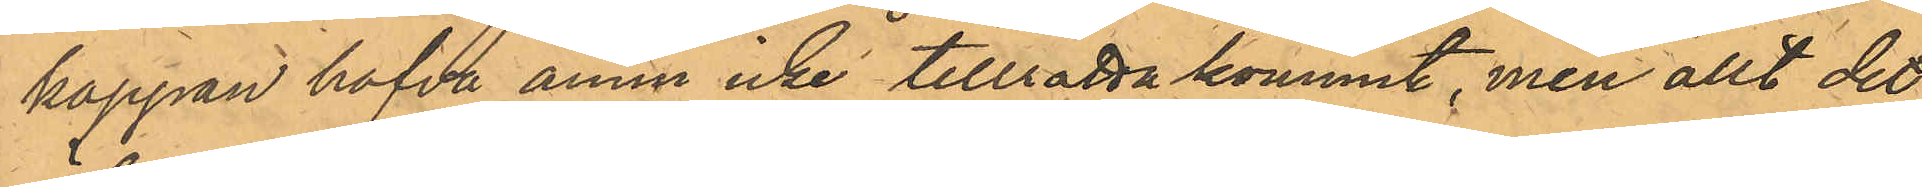kappan hafva ännu icke tillrättakommit, men allt det
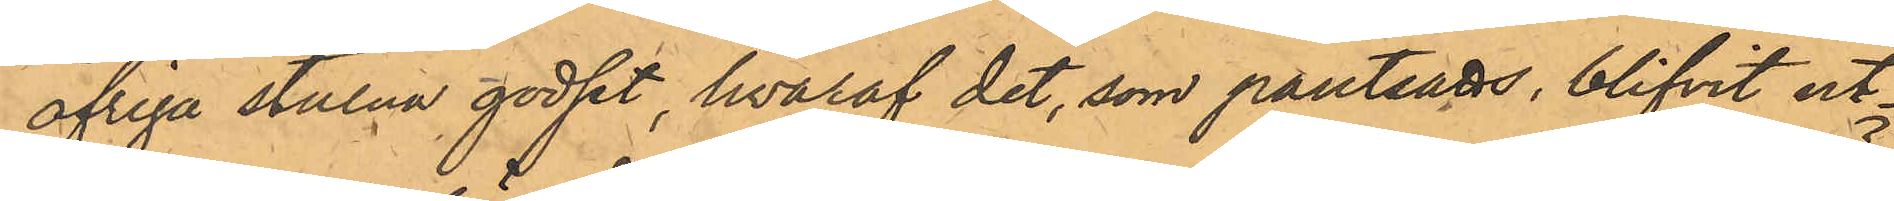öfriga stulna godset hvaraf det, som pantsatts, blifvit ut¬
